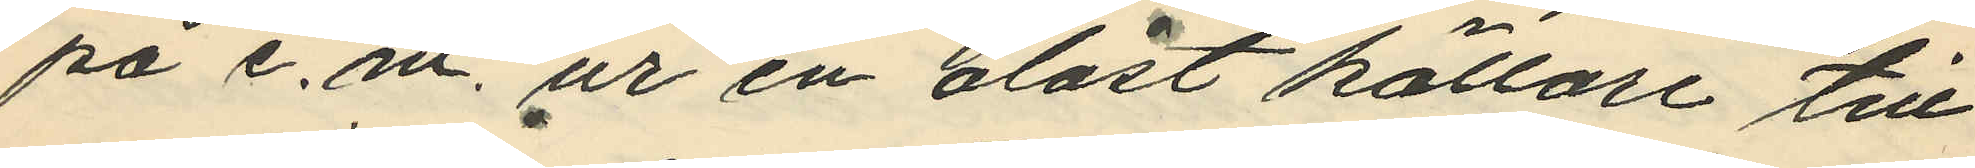på e. m. ur en olåst källare till
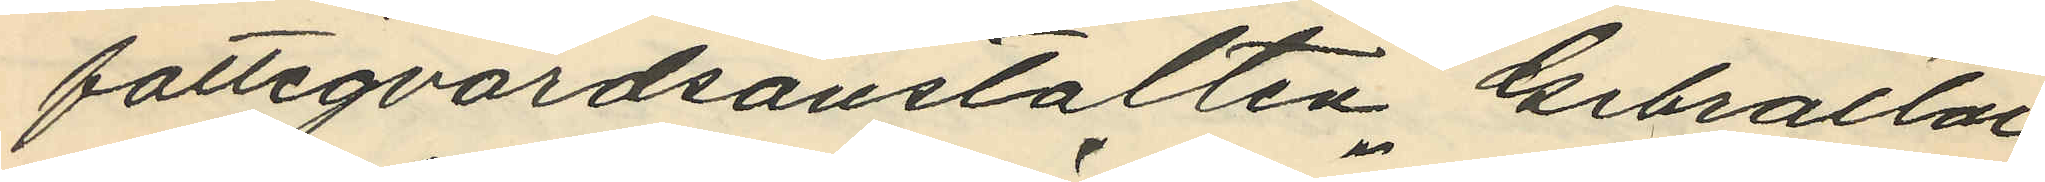fattigvårdsanstalten Gibraltar,
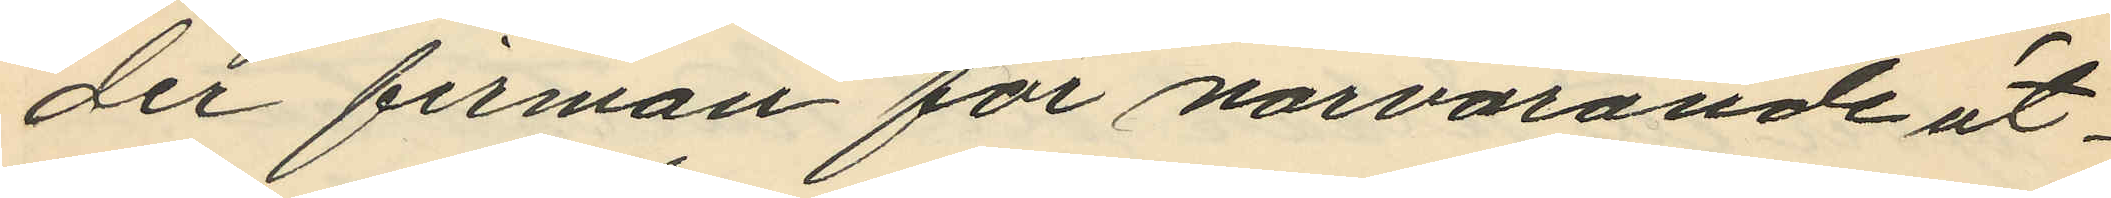der firman för närvarande ut¬
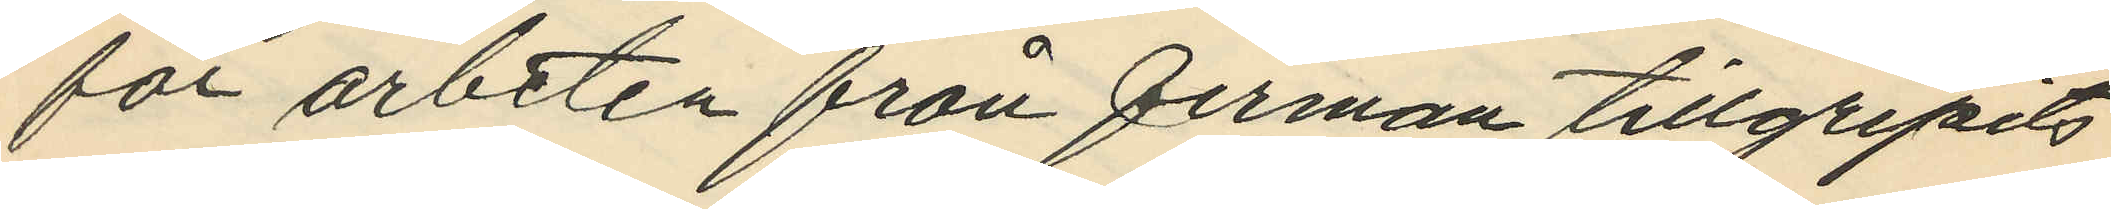för arbeten från firman tillgripits
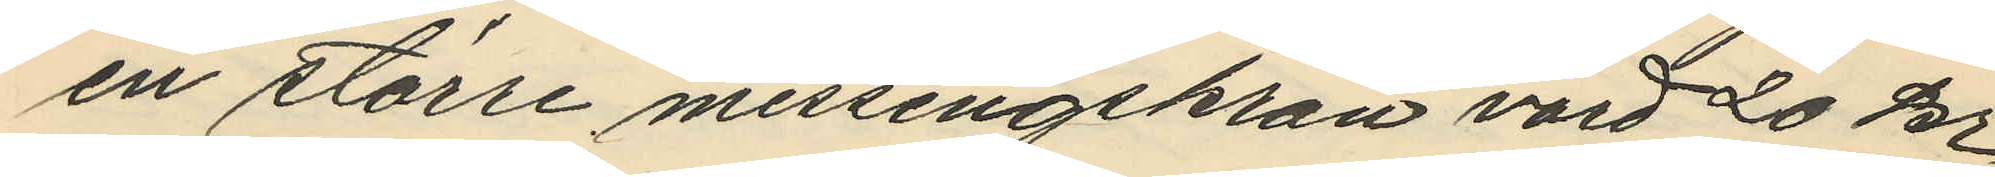en större messingskran värd 20 kr.
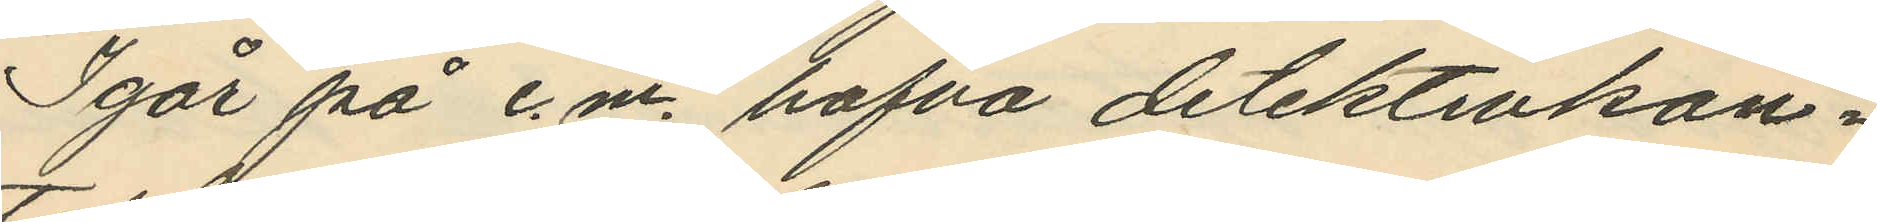Igår på e.m. hafva detektivkon¬
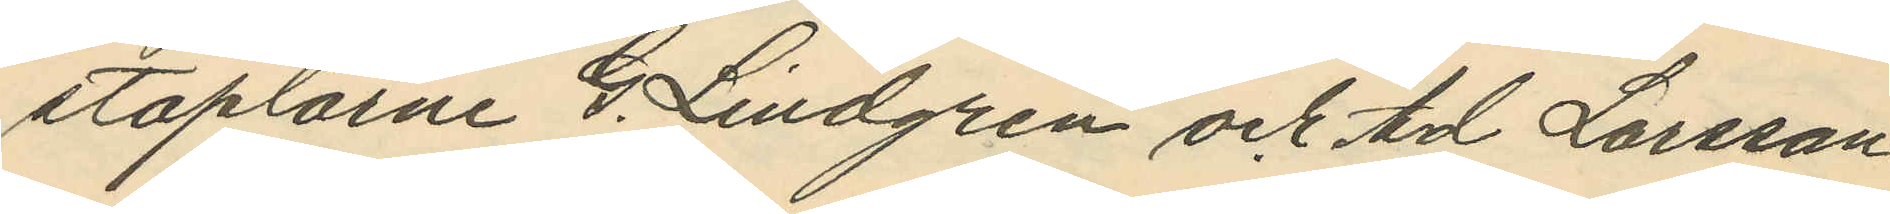staplarne G. Lindgren och Ad Larsson
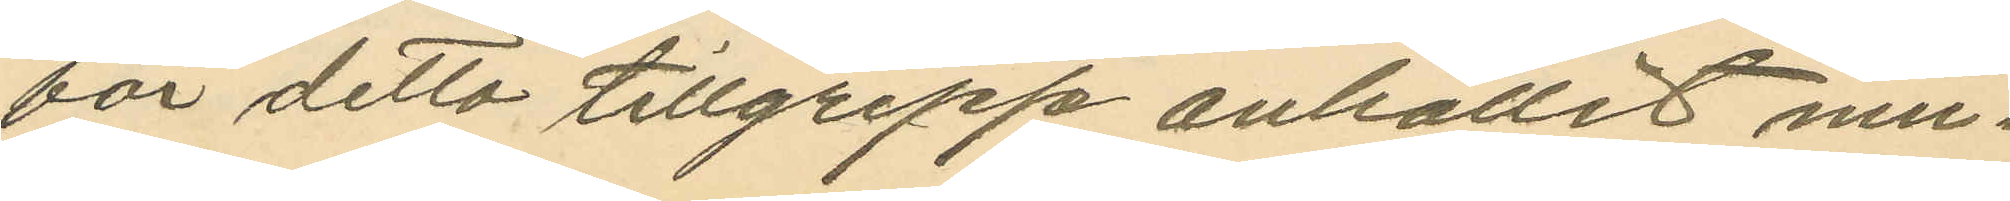för detta tillgrepp anhållit mu¬
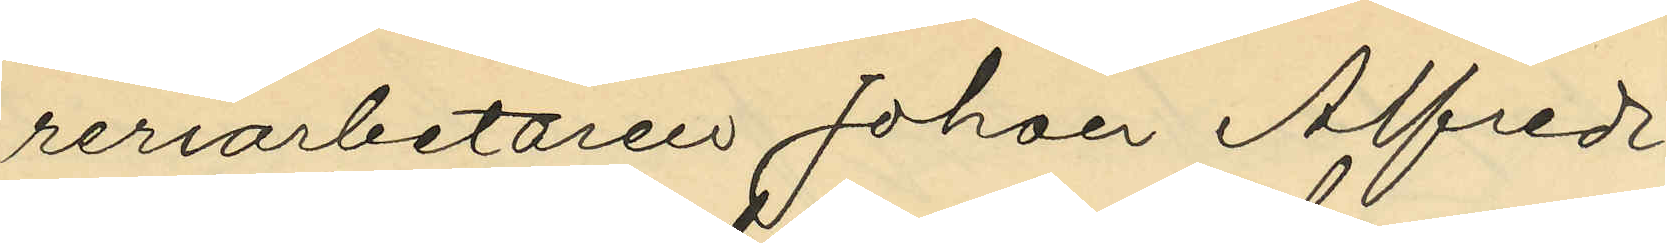reriarbetaren Johan Alfred
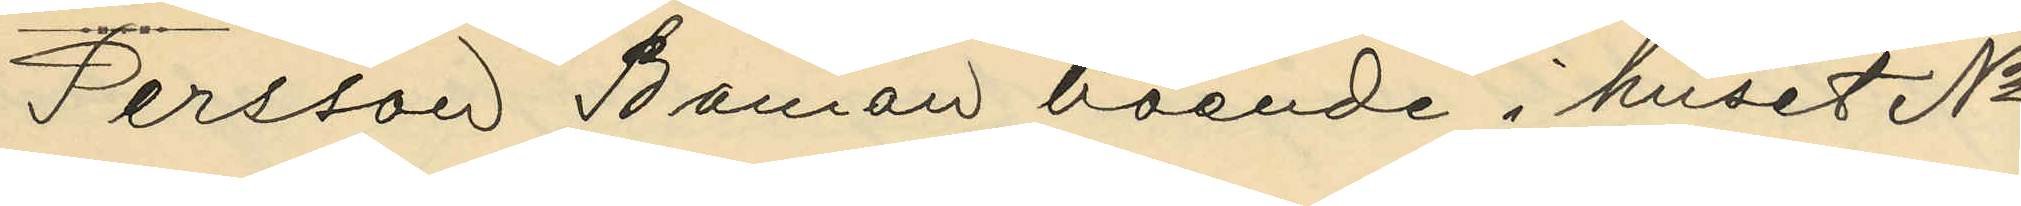Persson Boman boende i huset No
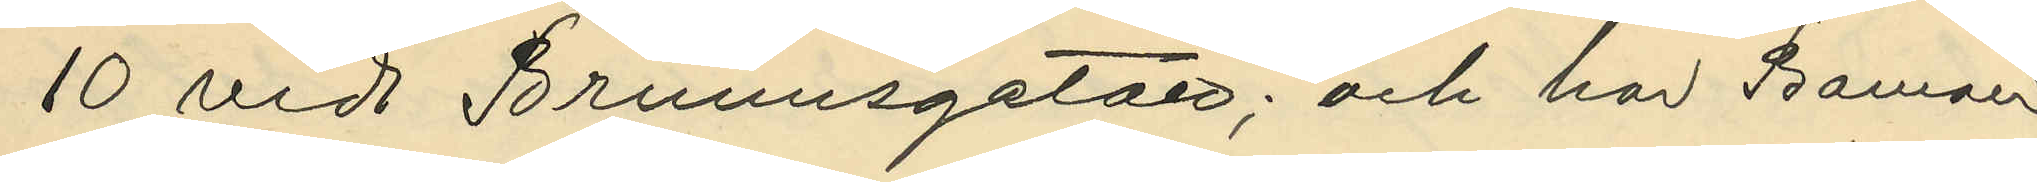10 vid Brunnsgatan; och har Boman
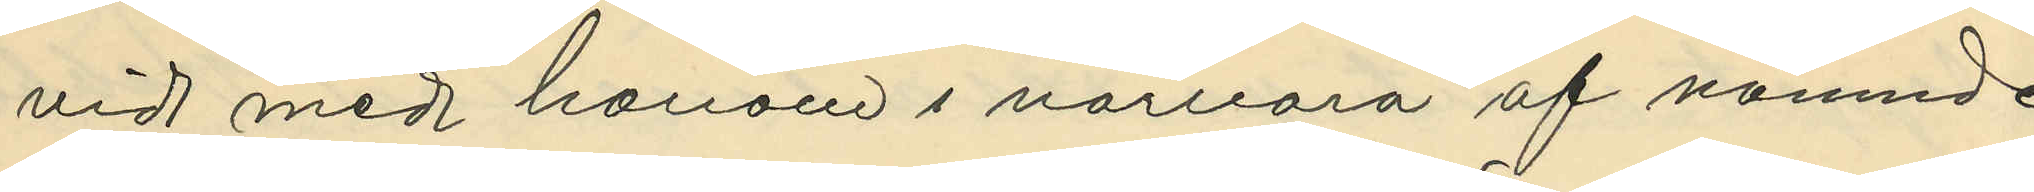vid med honom i närvaro af nämnde
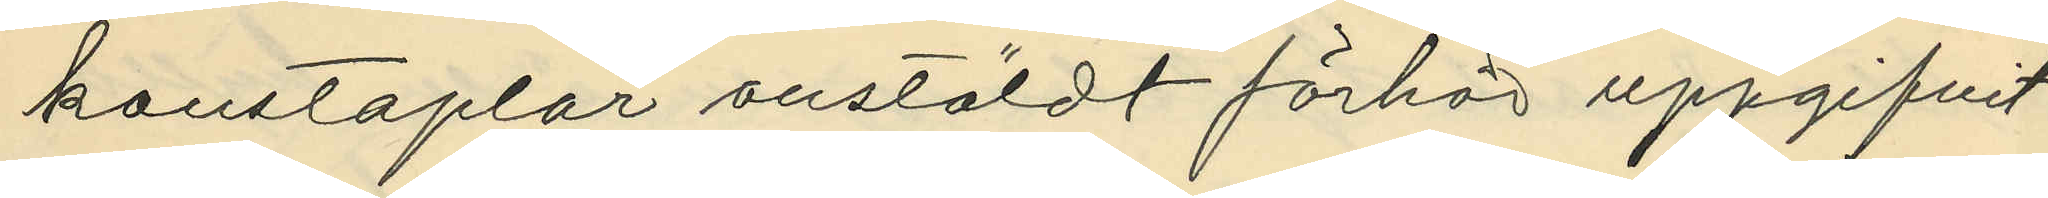konstaplar anstäldt förhör uppgifvit
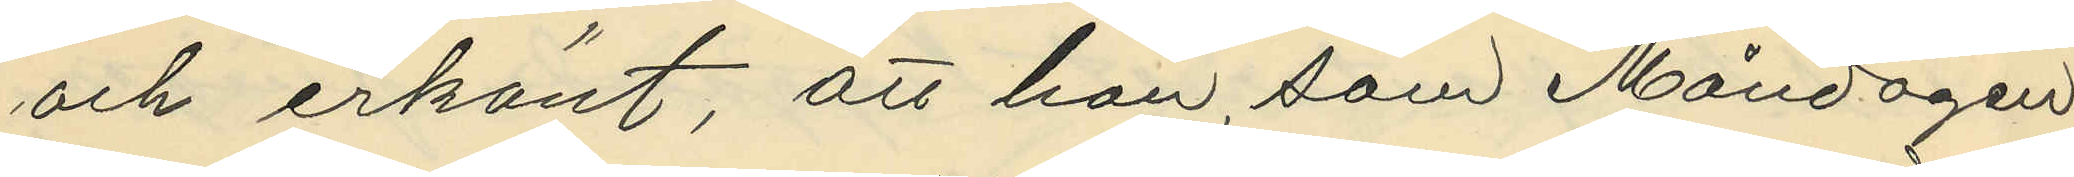och erkänt, att han, som Måndagen
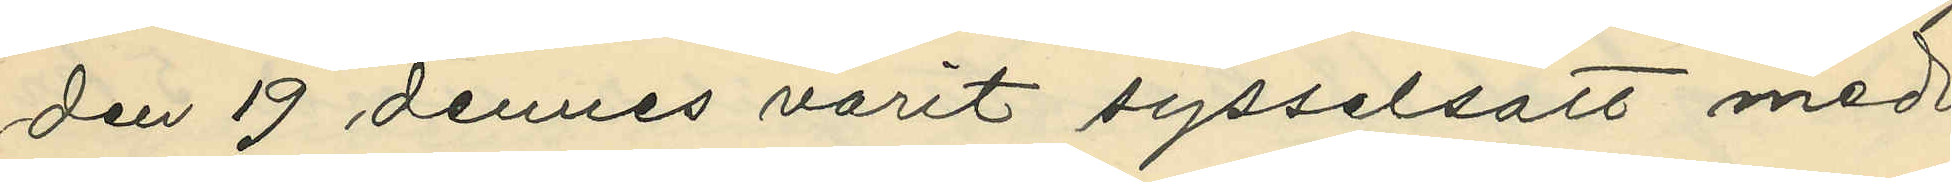den 19 dennes varit sysselsatt med
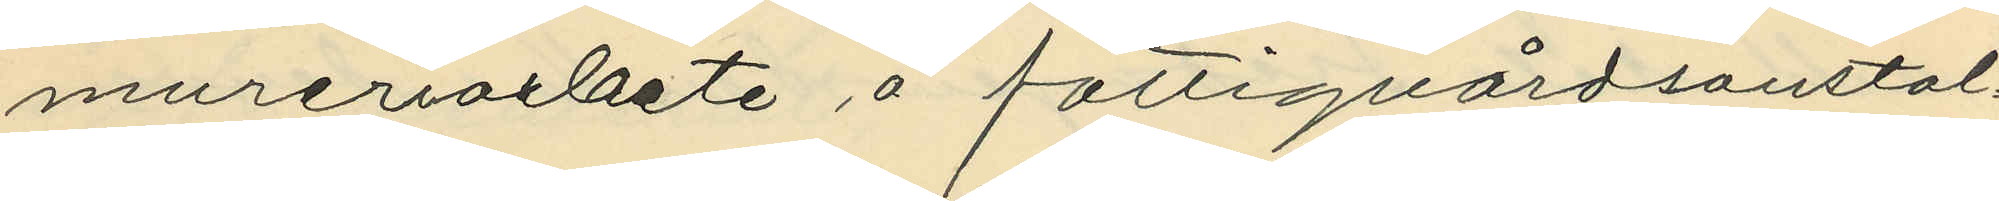mureriarbete å fattigvårdsanstal¬
